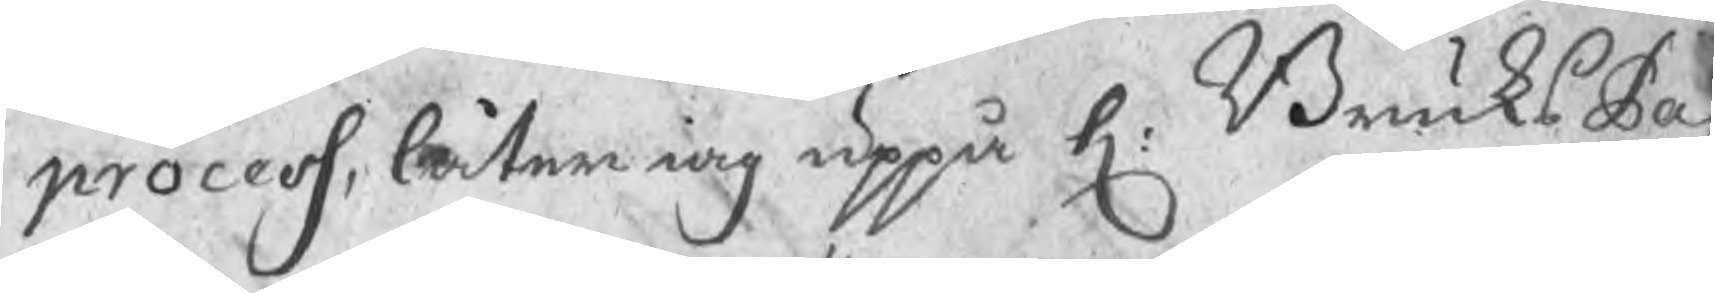process, låter iag uppå h: BruksPa¬
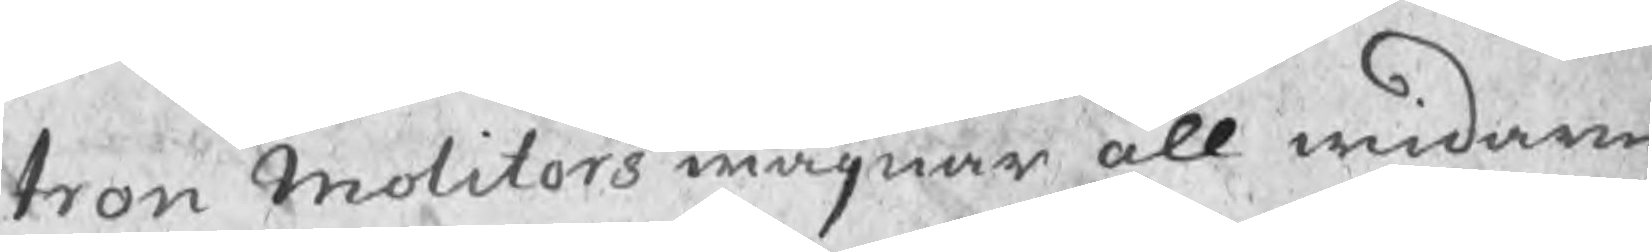tron Molitors wägnar all widare
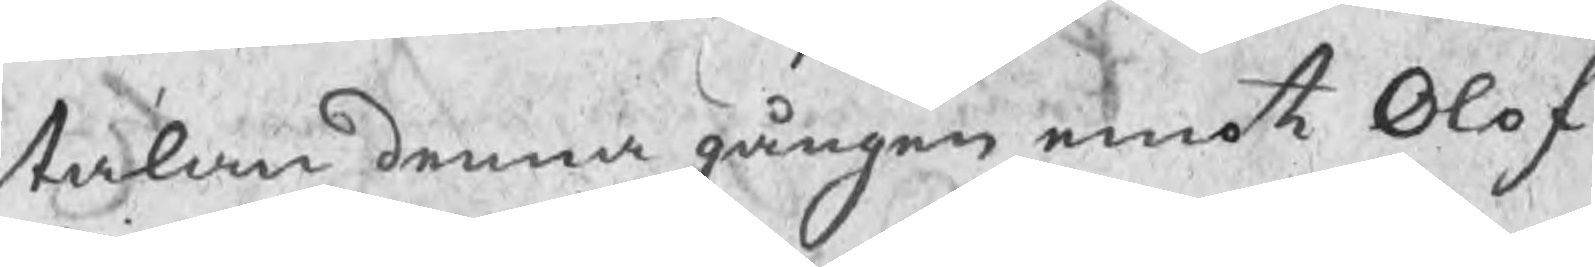talan denna gången emot Olof
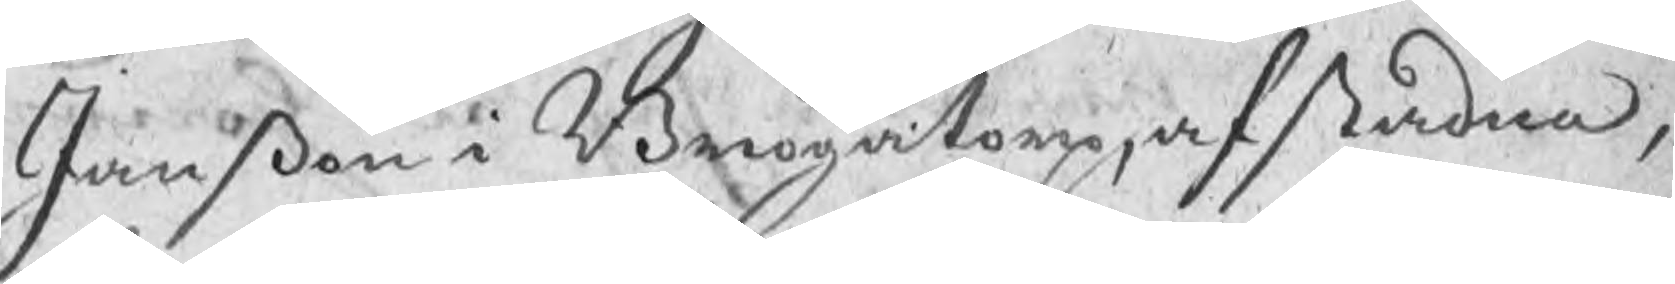Janßon i Brogatorp, afståndna,
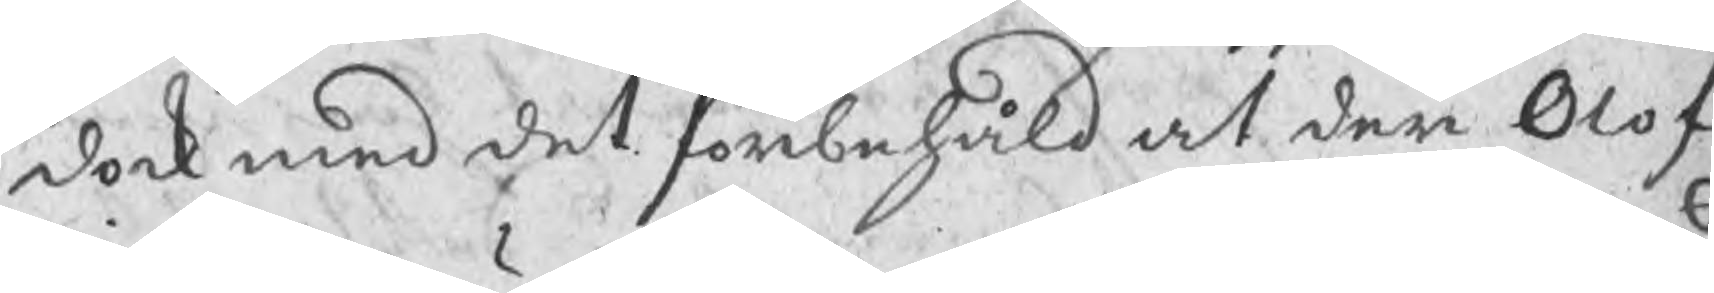dock med det förbehåld at den Olof
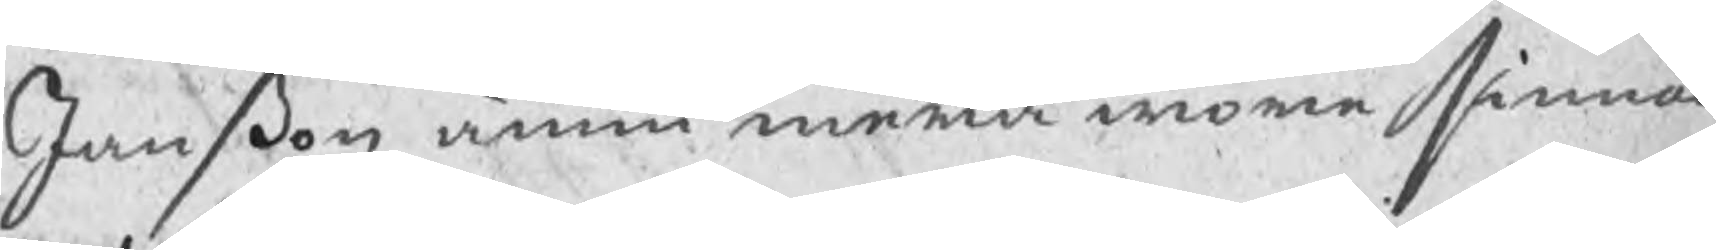Janßon ännu mera wore sinnad
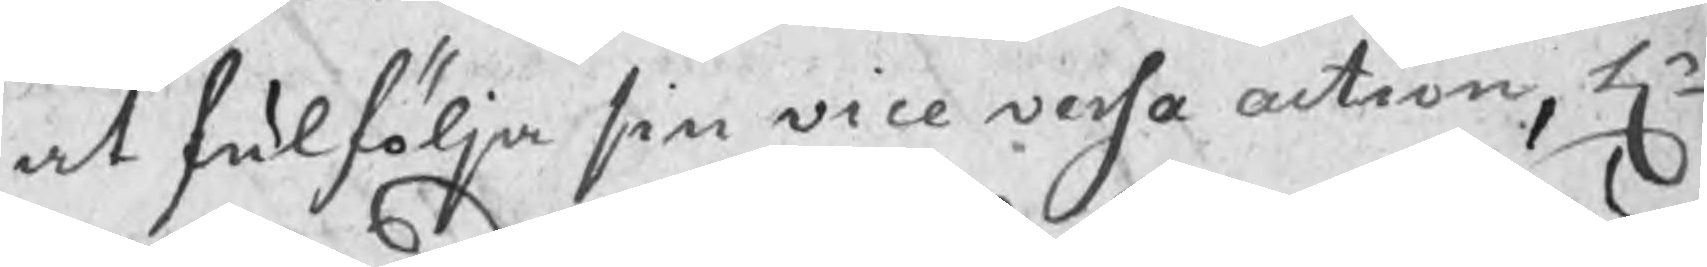at fulfölja sin vice versa action, Hr
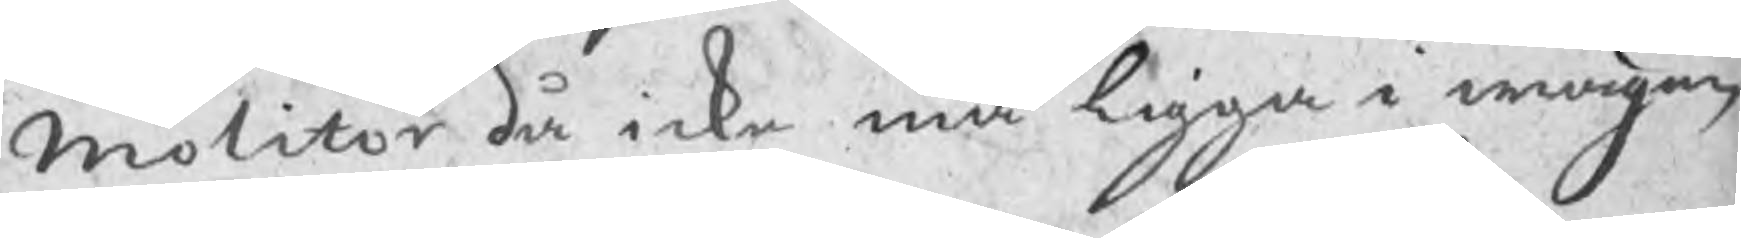Molitor då icke må ligga i wägen,
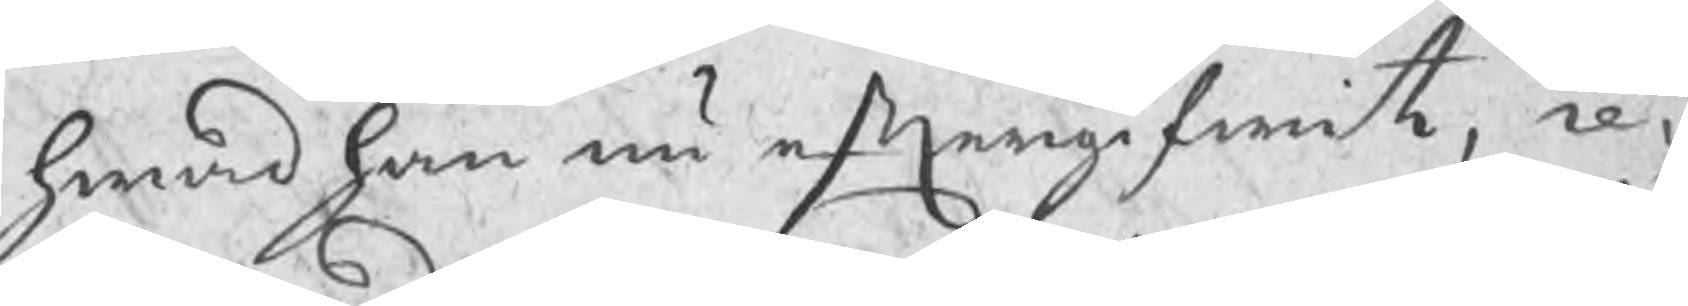hwad han nu eftergifwit, re¬
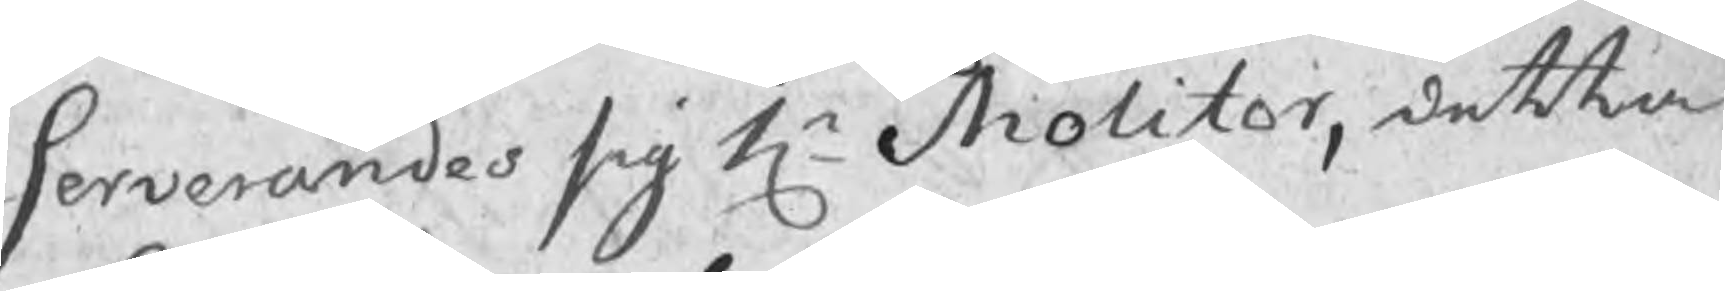serverandes sig Hr Molitor, detta
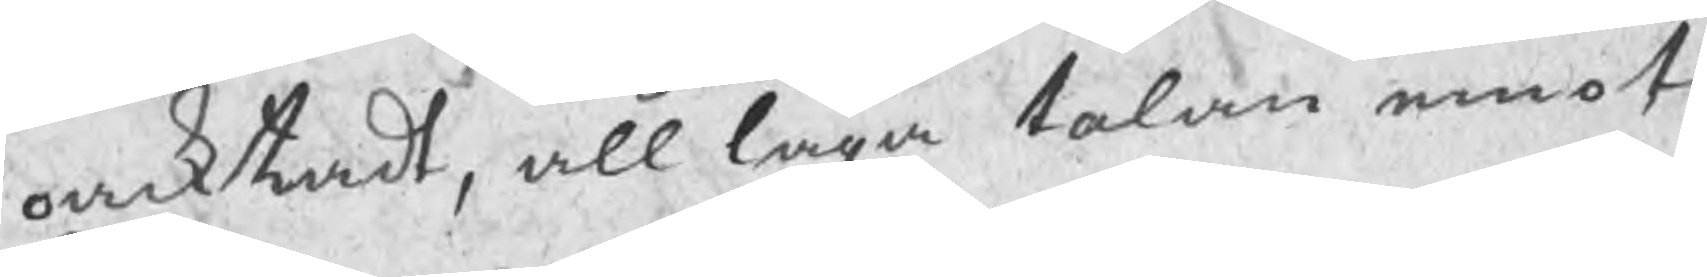oacktadt, all laga talan emot Borgaren Galle.
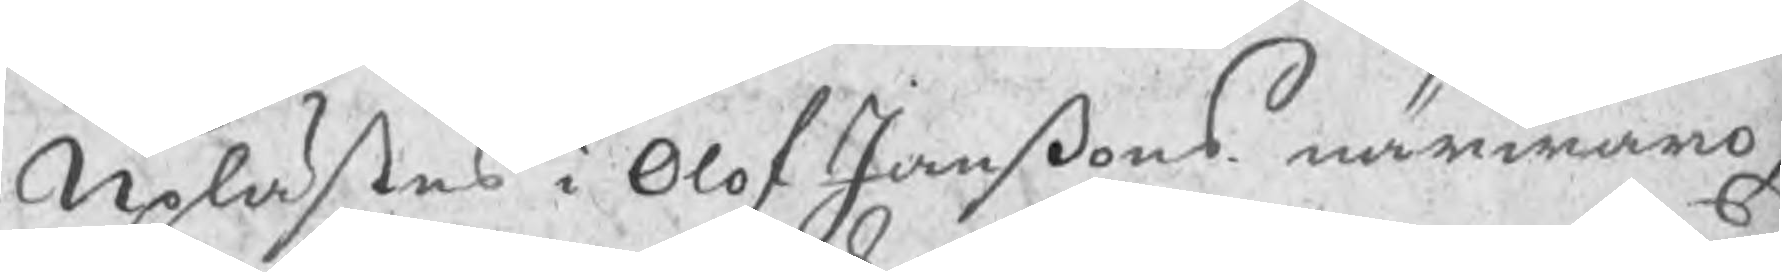Uplästes i Olof Janßons närwaro,
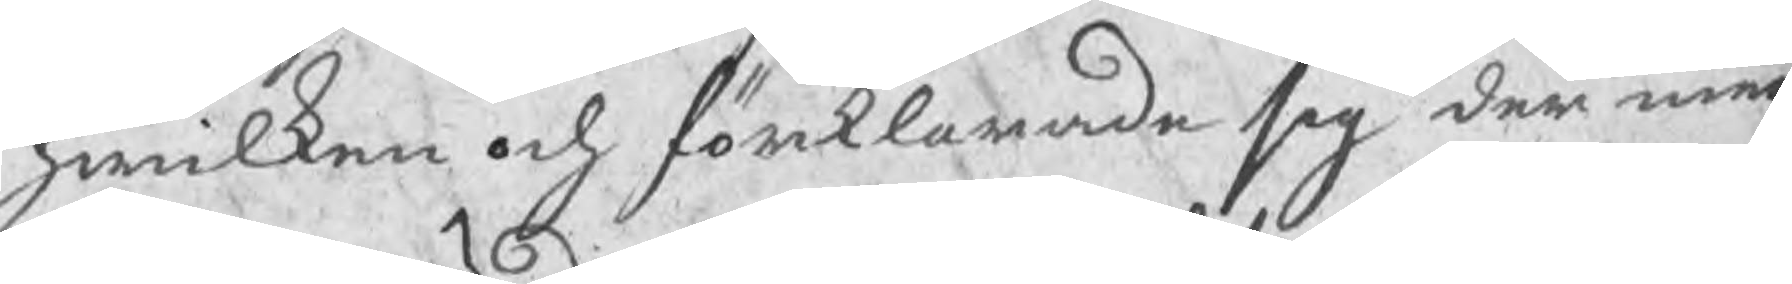hwilken och förklarade sig der med
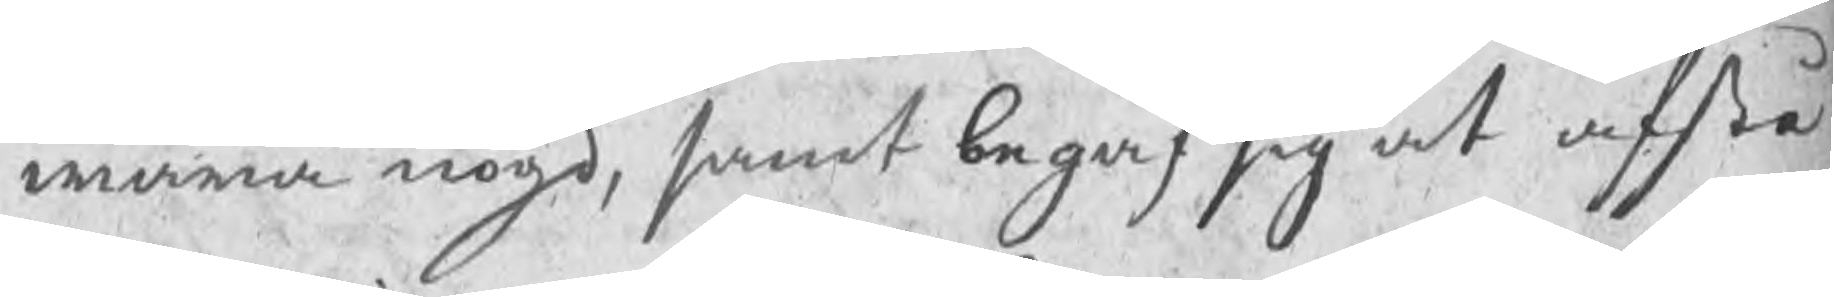wara nögd, samt begaf sig at afstå
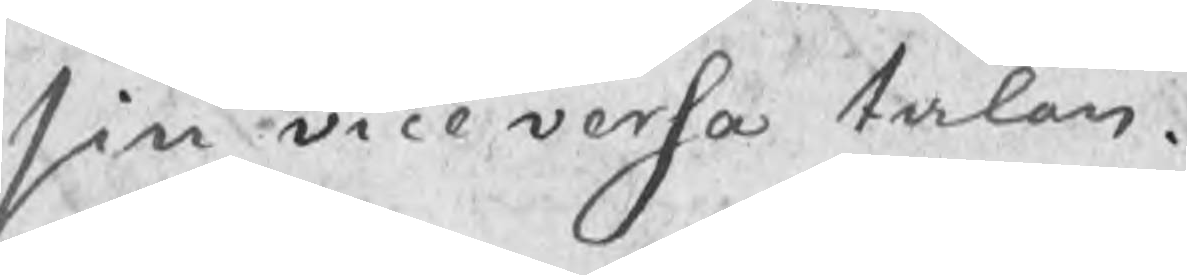sin vice versa talan.
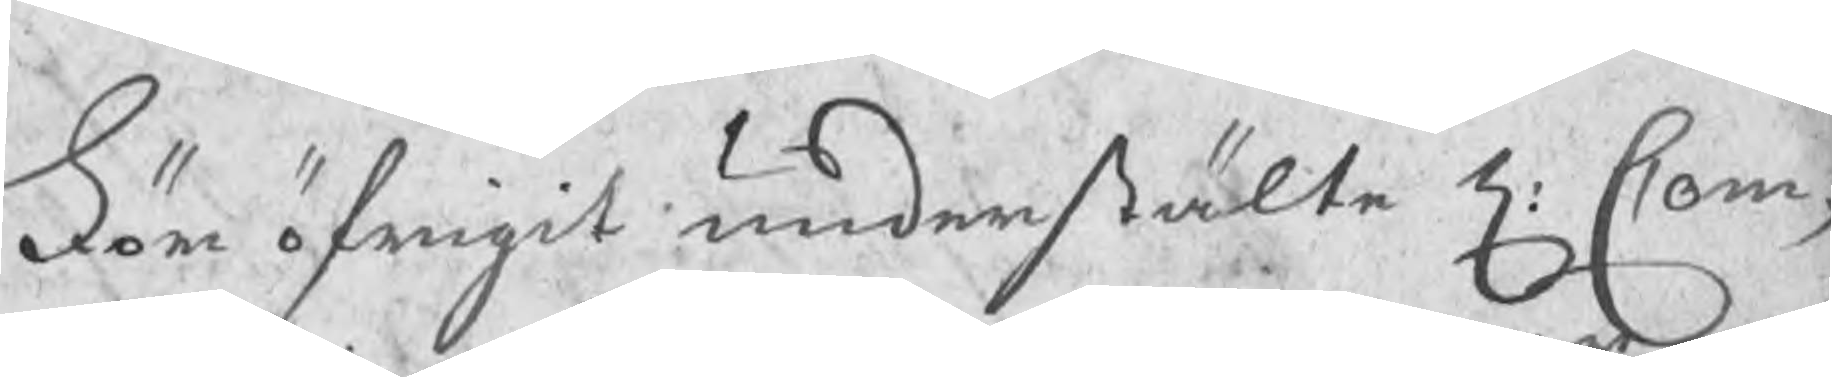För öfrigit understälte H: Com¬
